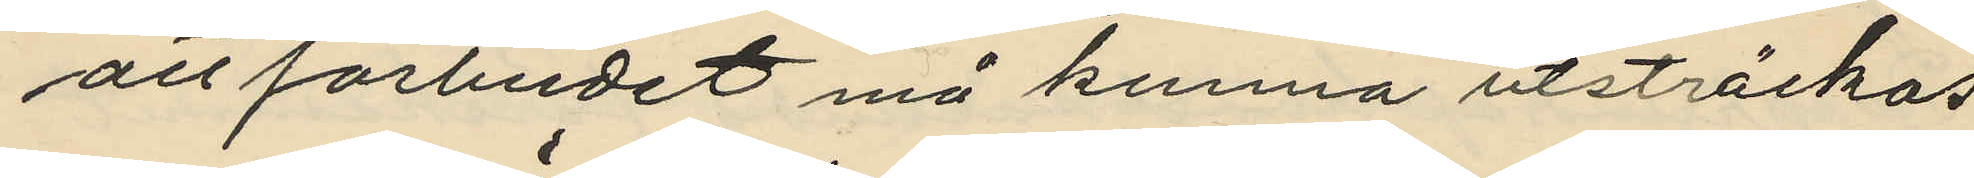att förbudet må kunna utsträckas
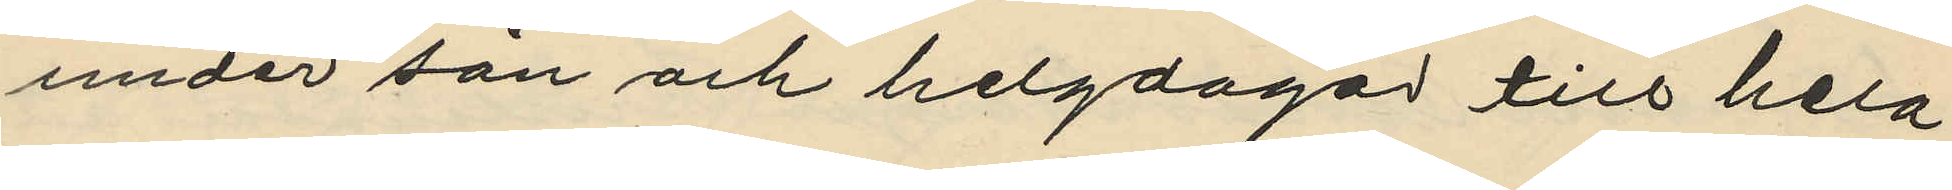under sön och helgdagar till hela
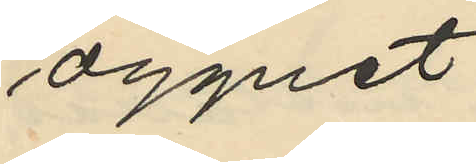dygnet
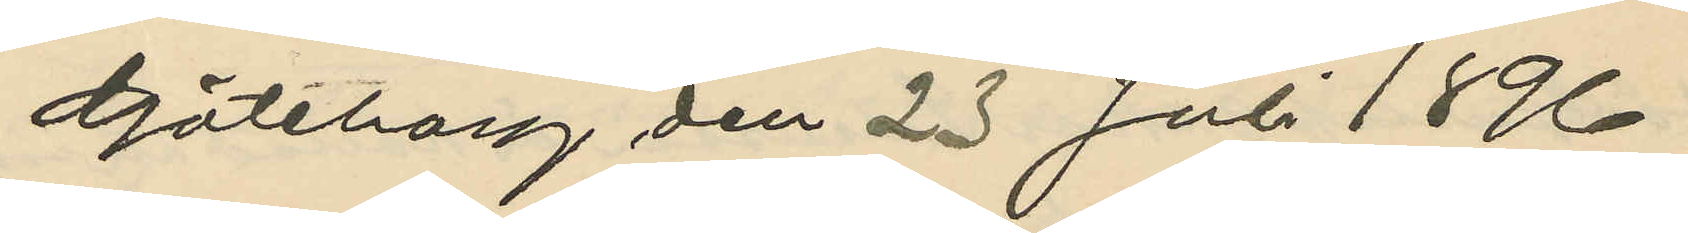Göteborg den 23 Juli 1896.
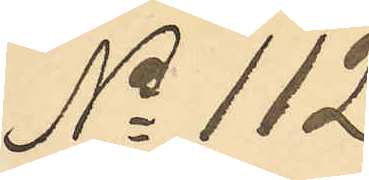No 112
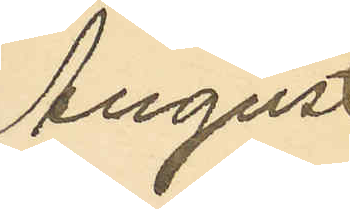August
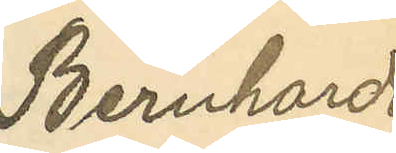Bernhard
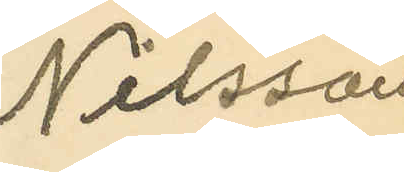Nilsson
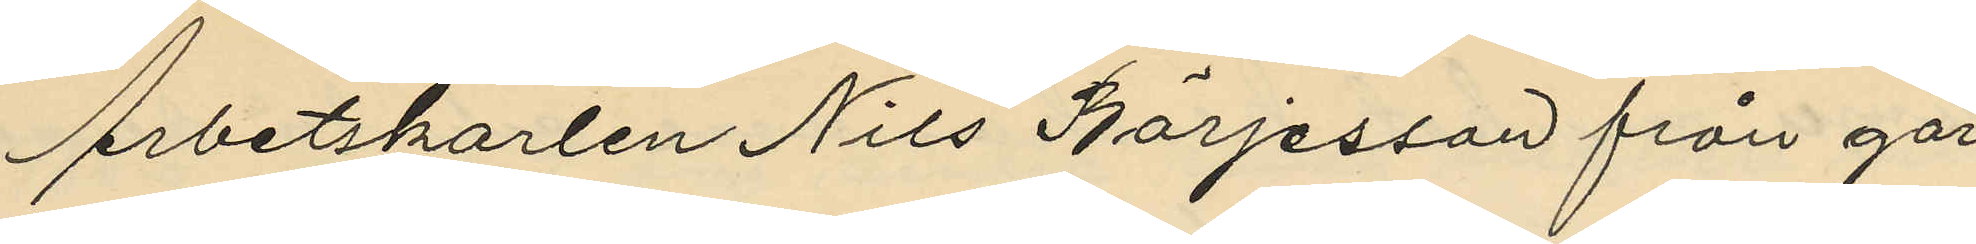Arbetskarlen Nils Börjesson från går¬
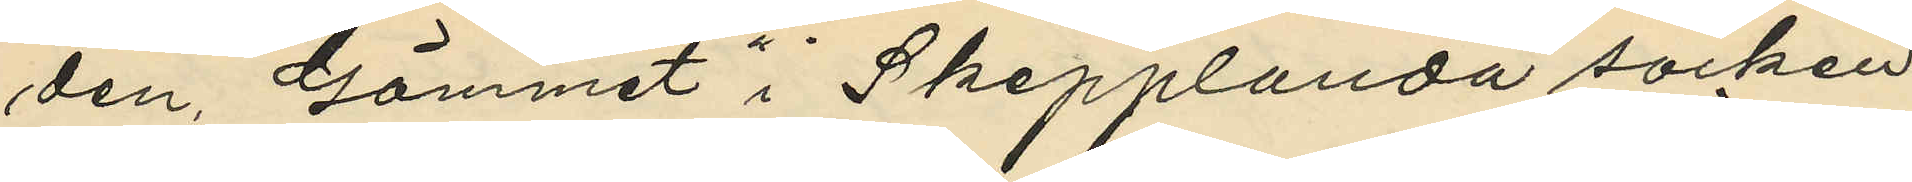den "Gömmet" i Skepplanda socken
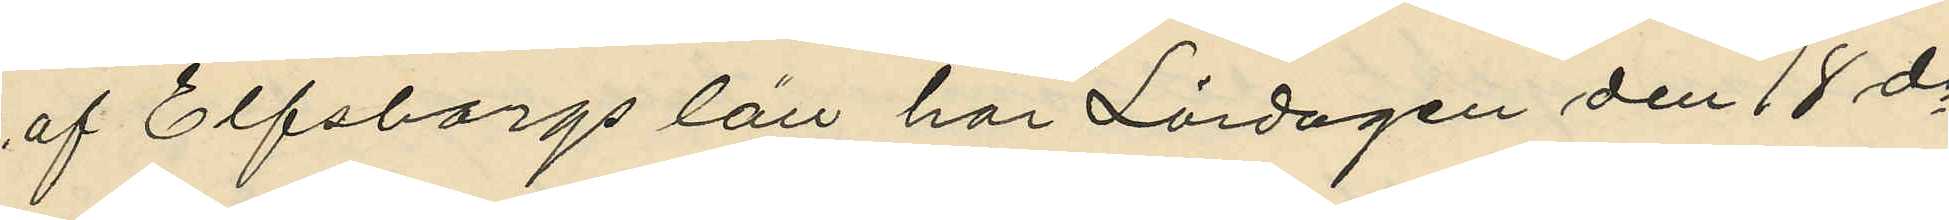af Elfsborgs län har Lördagen den 18 ds
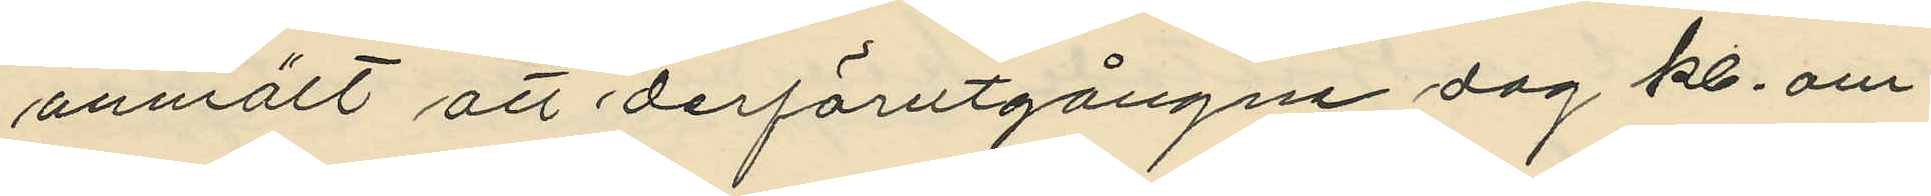anmält att derförutgångne dag kl. om¬
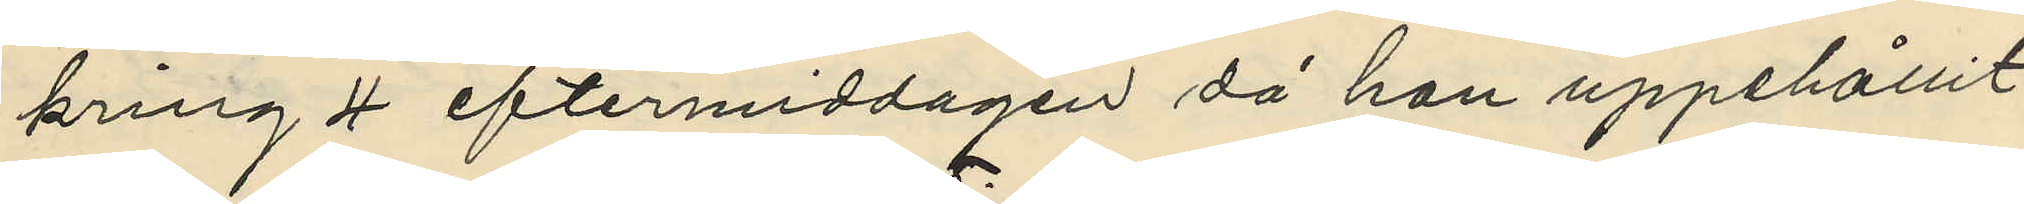kring 4 eftermiddagen då han uppehållit
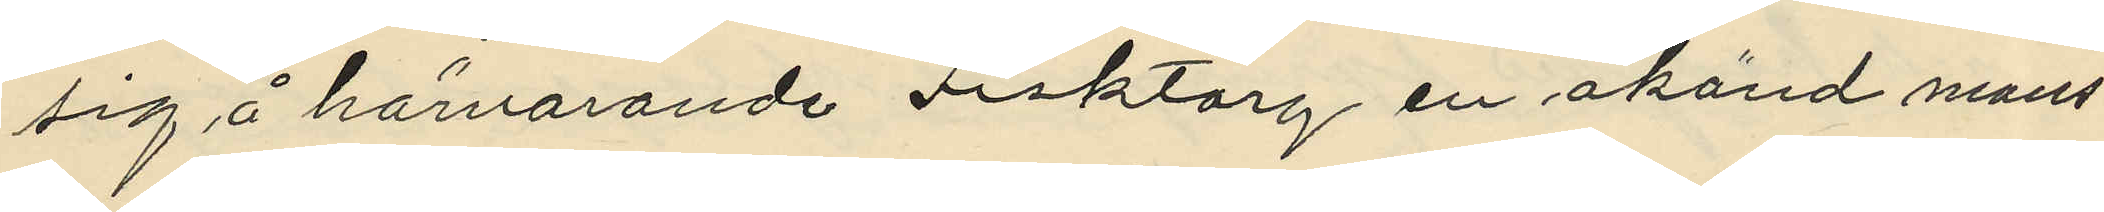sig å härvarande Fisktorg en okänd mans¬
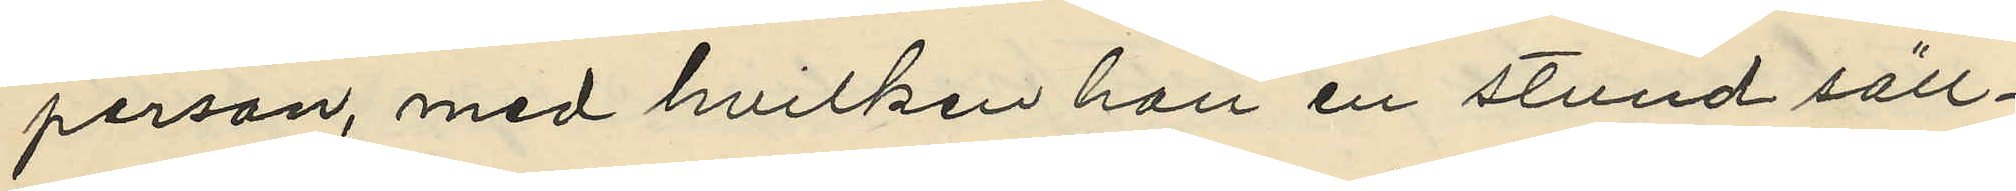person, med hvilken han en stund säll¬
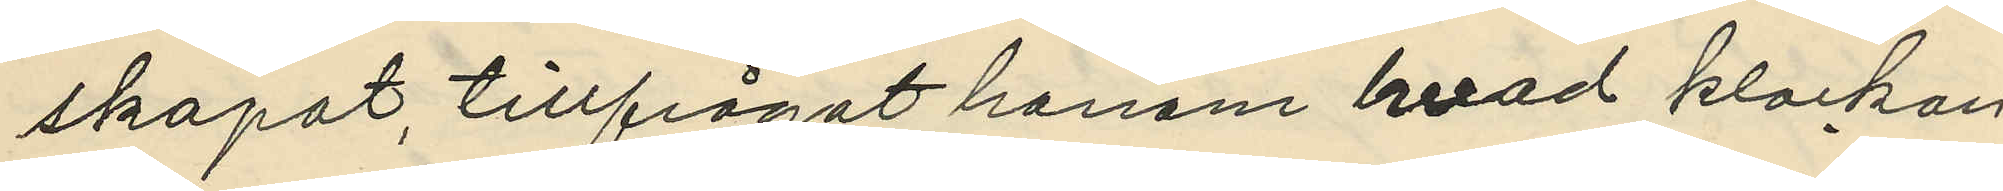skapat, tillfrågat honom hvad klockan
